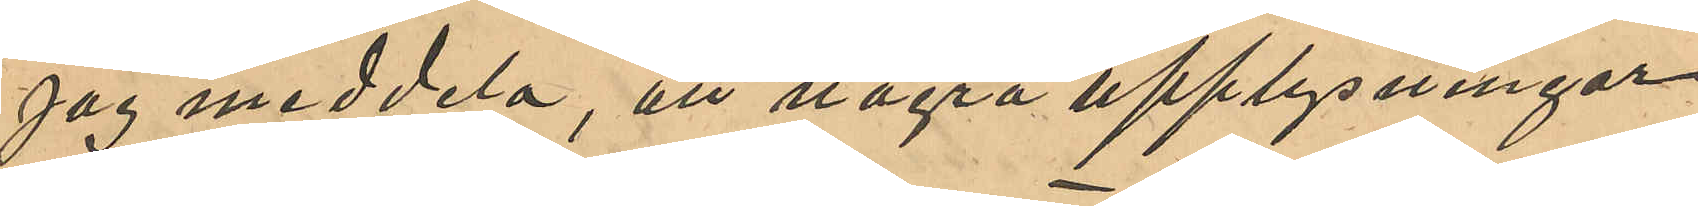jag meddela, att några upplysningar
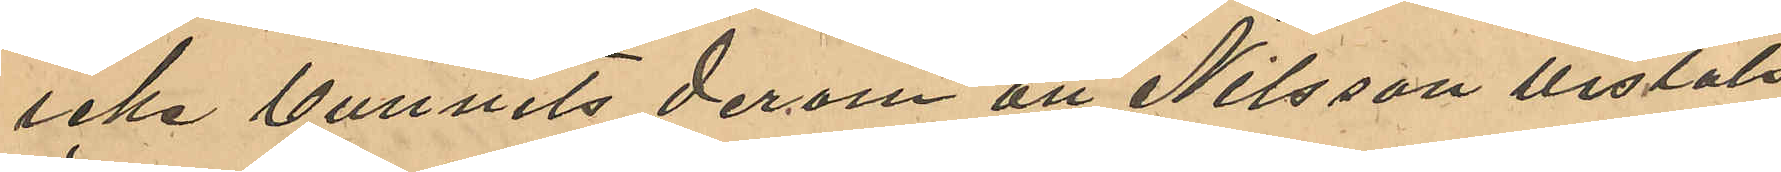icke vunnits derom att Nilsson vistats
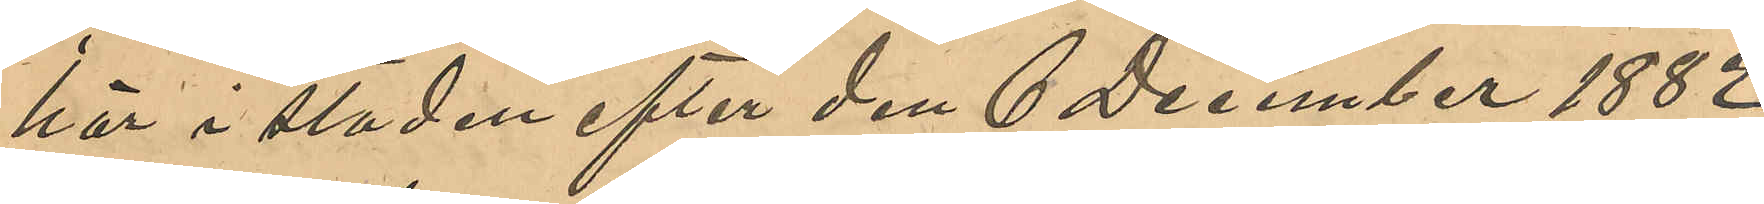här i staden efter den 6 December 1882
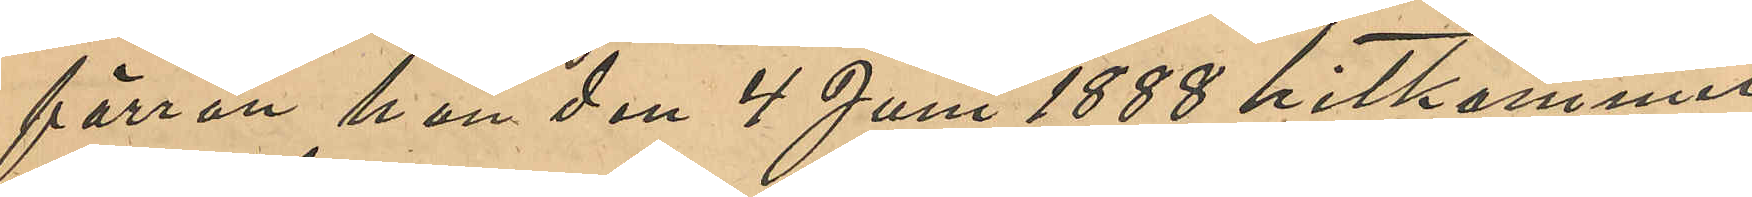förrän han den 4 Juni 1888 hitkommit
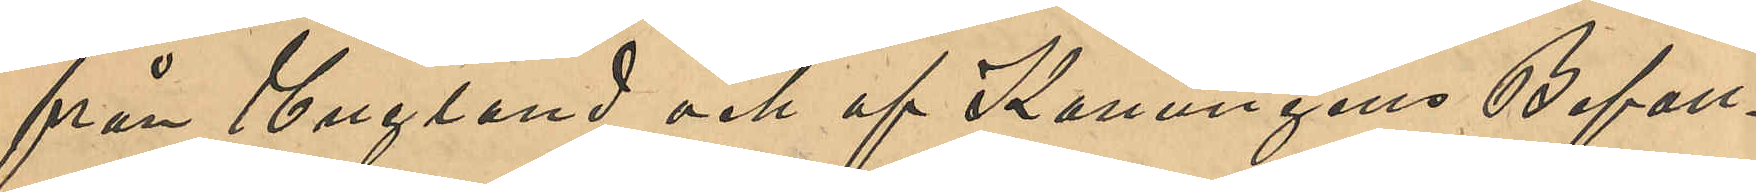från England och af Konungens Befall¬
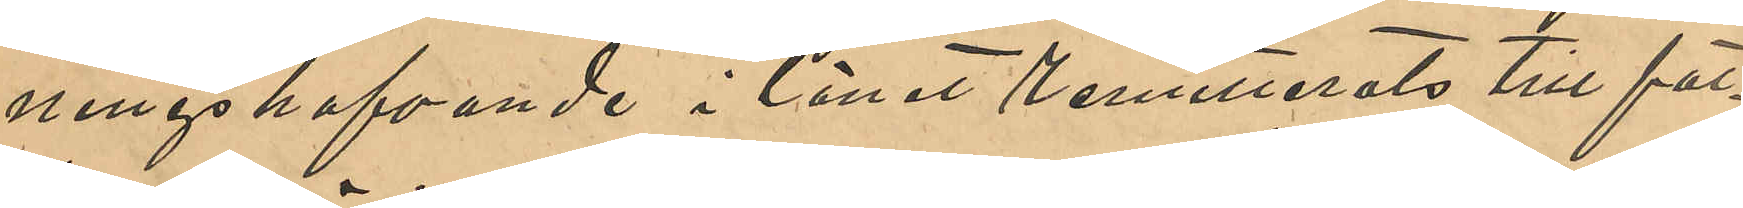ningshafvande i länet remitterats till fat¬
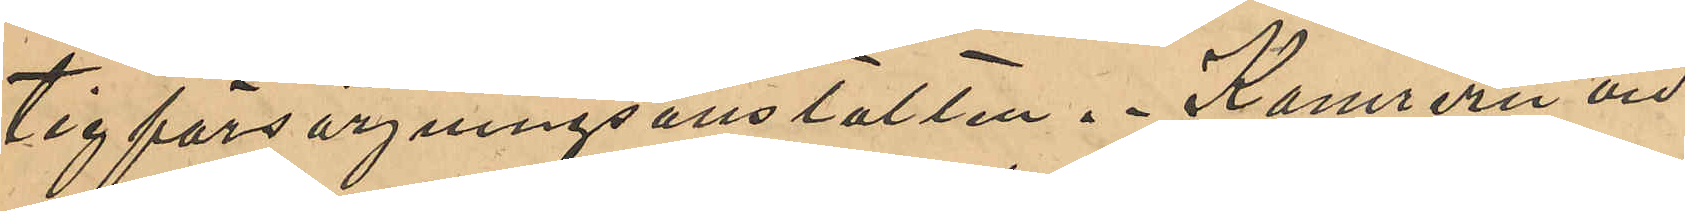tigförsörjningsanstalten. Kamreren vid
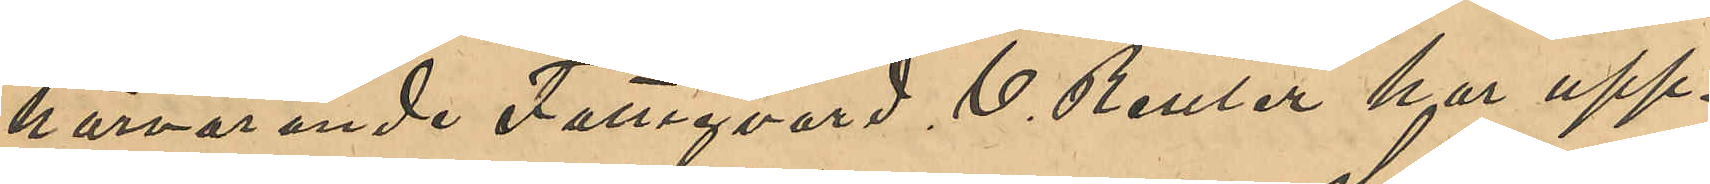härvarande Fattigvård C. Reuter har upp¬
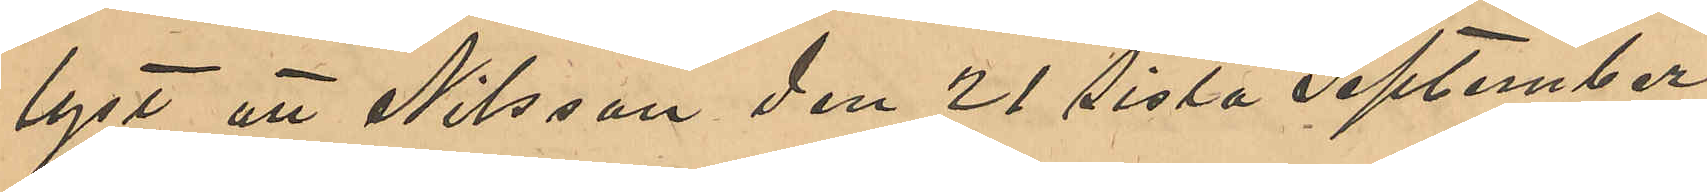lyst att Nilsson den 21 sistl September
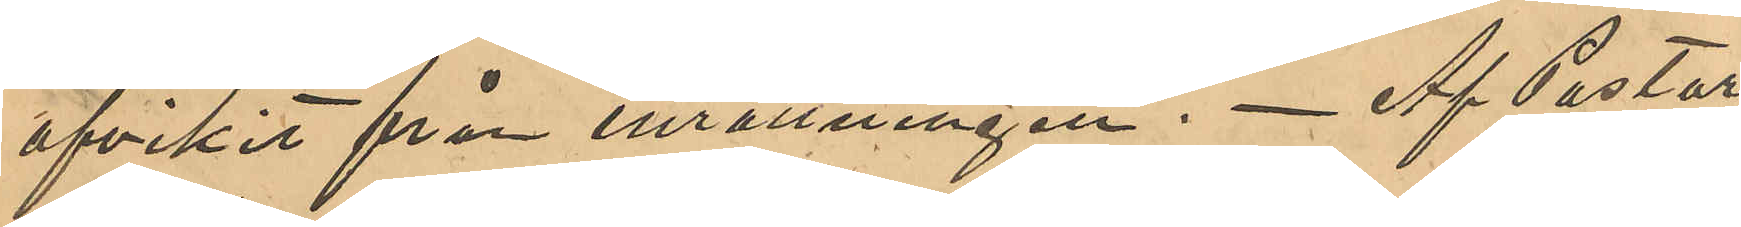afvikit från inrättningen. Af Pastor
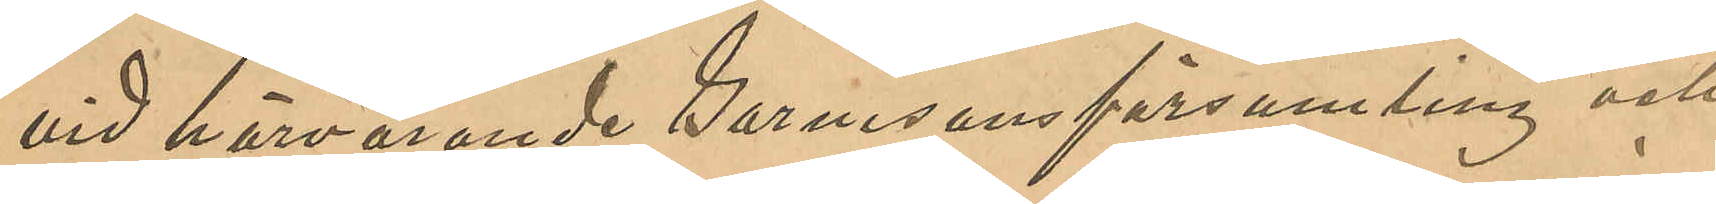vid härvarande Garnisonsförsamling och
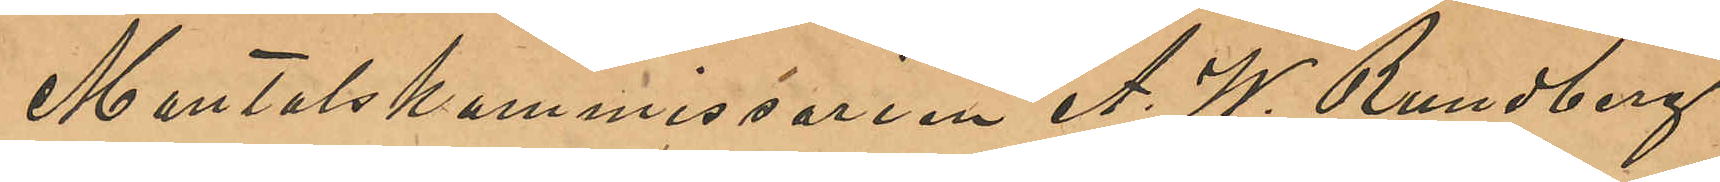Mantalskommissarien A. W. Rundberg
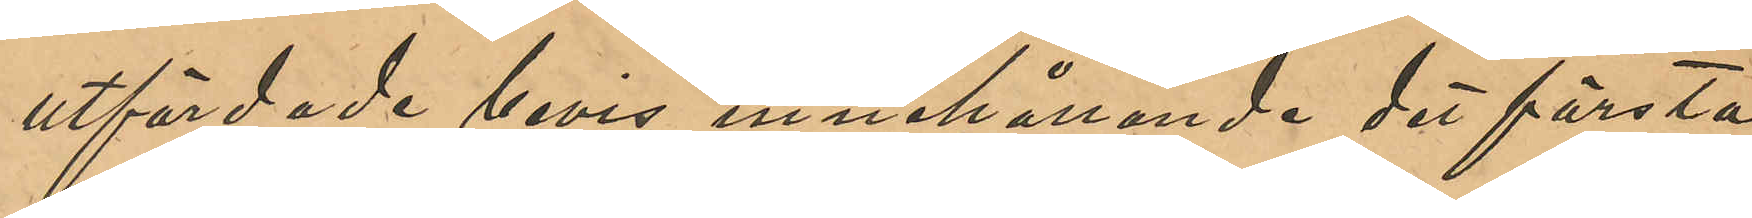utfärdade bevis innehållande det första
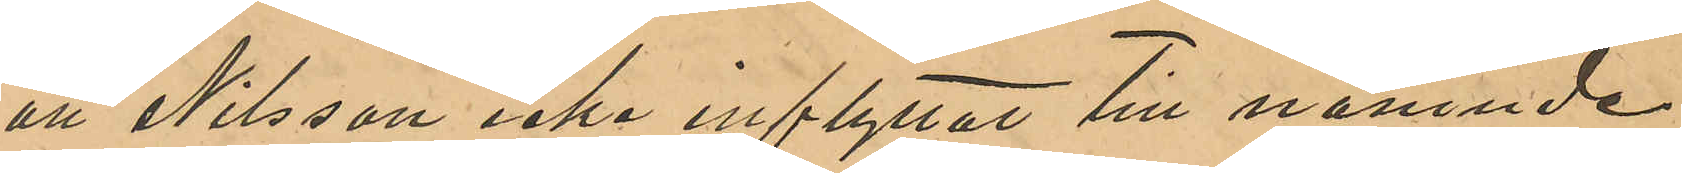att Nilsson icke inflyttat till nämnde
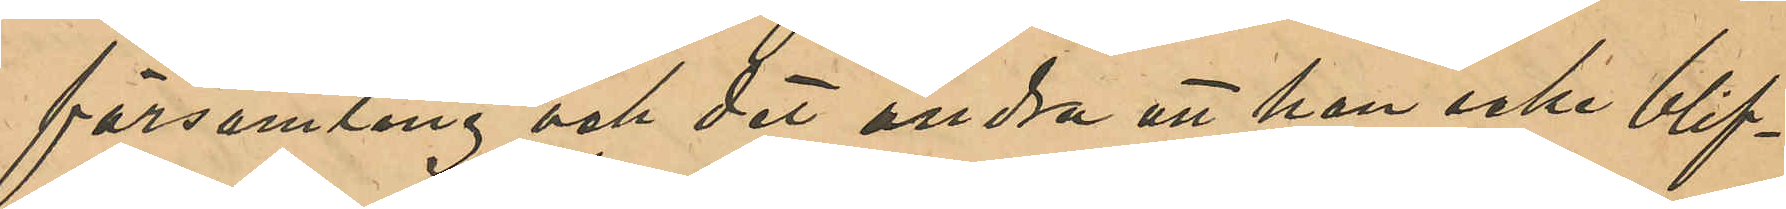församling, och det andra att han icke blif¬
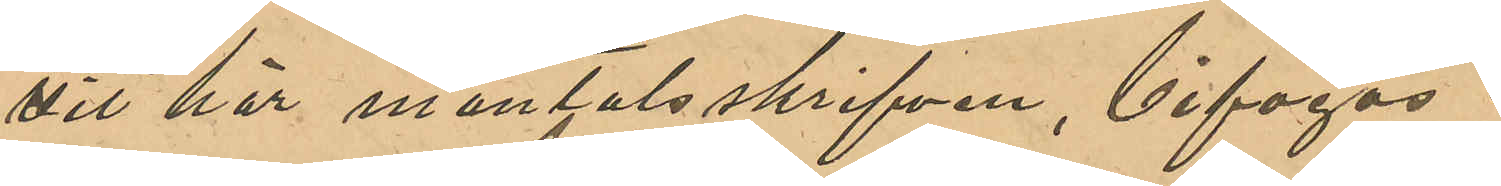vit här mantalsskrifven, bifogas.
